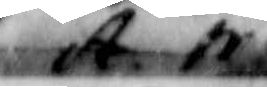A.N.
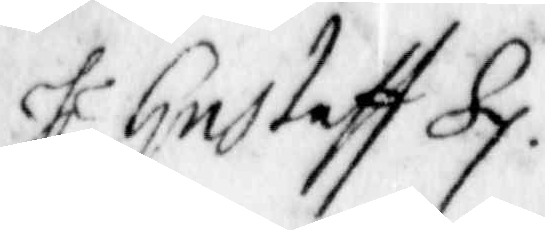Hl.r Gustaff Sp.
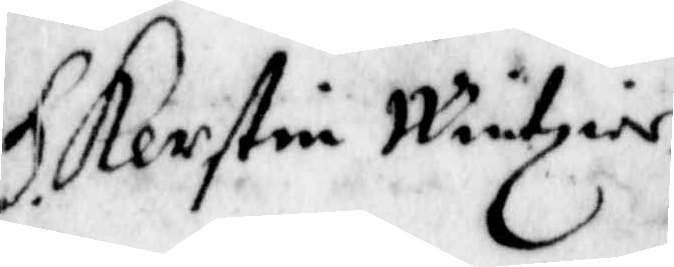H. Kerstin Wintzeir.
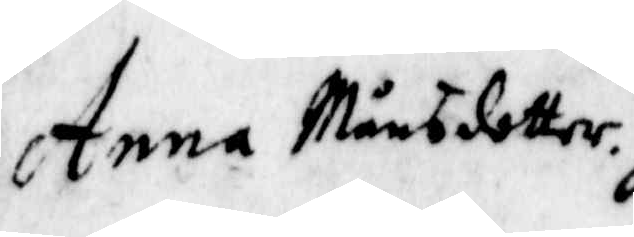Anna Månsdotter.
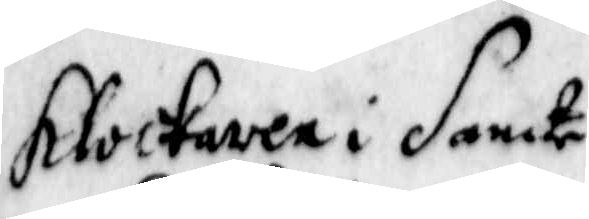klockaren i Santa
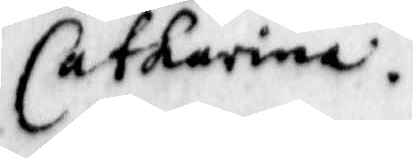Catharina.
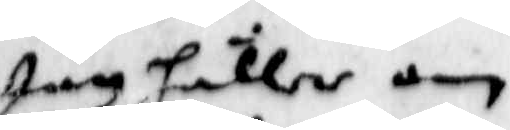Jiag håller om
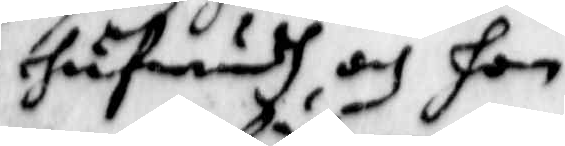hufwudet och hon
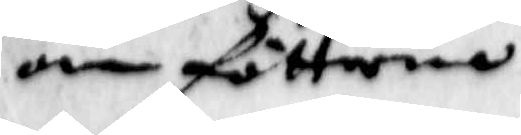om fötterna
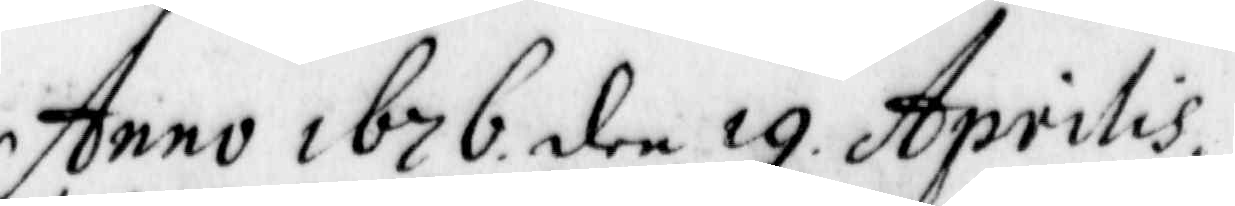Anno 1676 den 19 Aprilis.
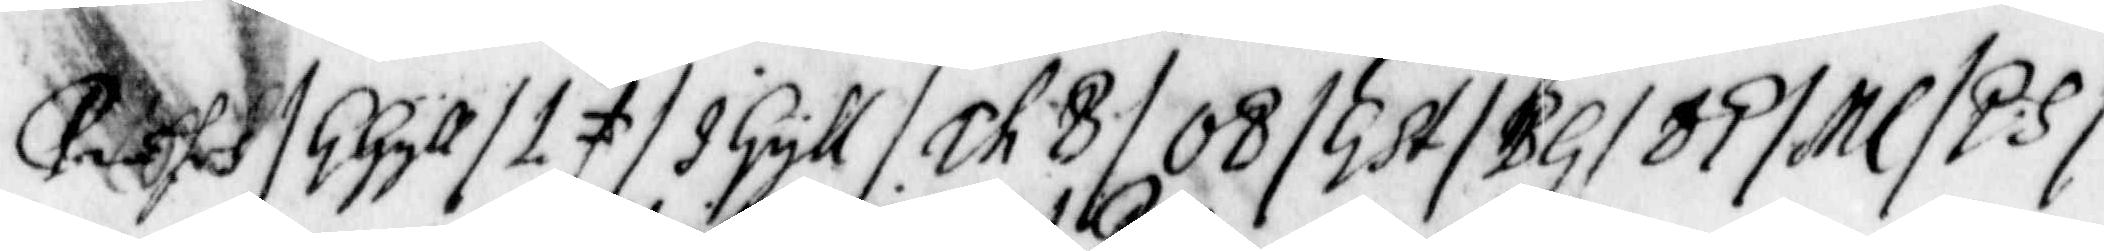Præses/ G Gyll/ L F/ I Gyll/ Ch B/ OB/ GSt/ BG/ BP/ ML/ PS/
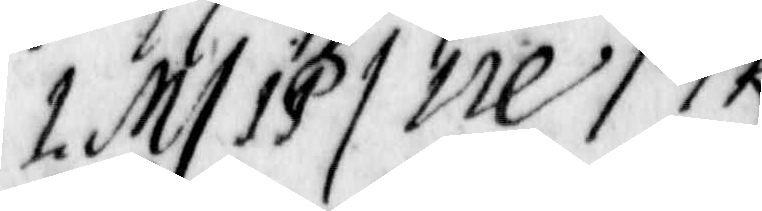LM/ IP/ IRE/ PK.
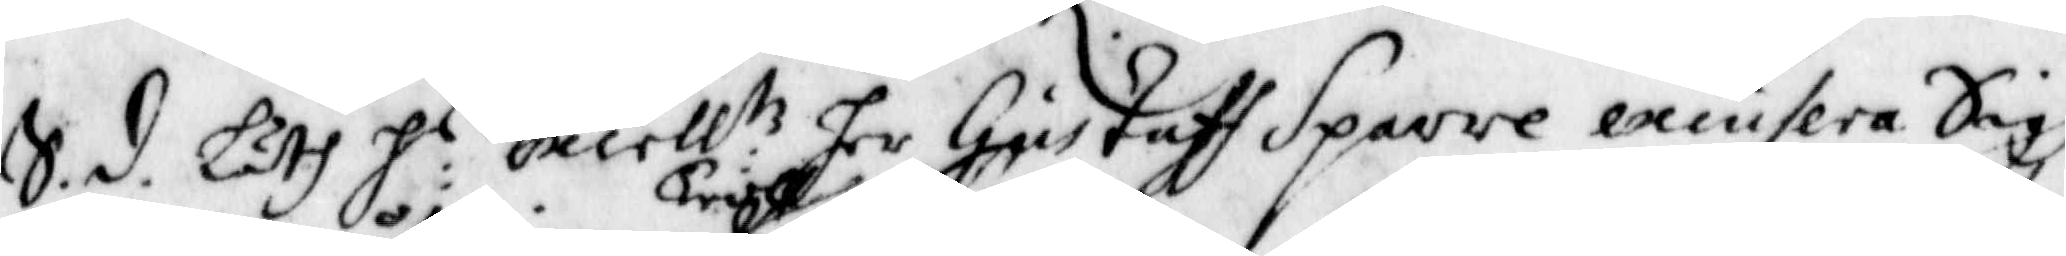S.d. Läth H:r Excell:tz her Gustaff Sparre excusera Sigh
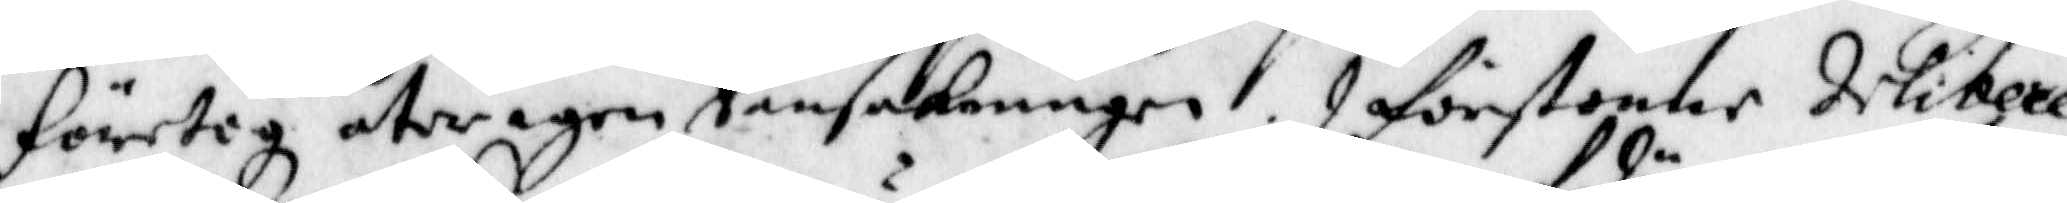företog åter igen Troll Ransakningen. I förstone delitere¬
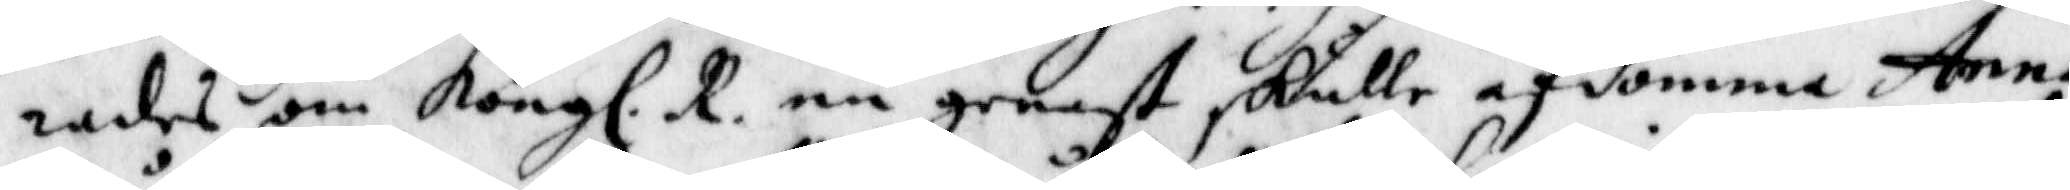rades om Kongl. R. nu genast skulle afdömma Anna
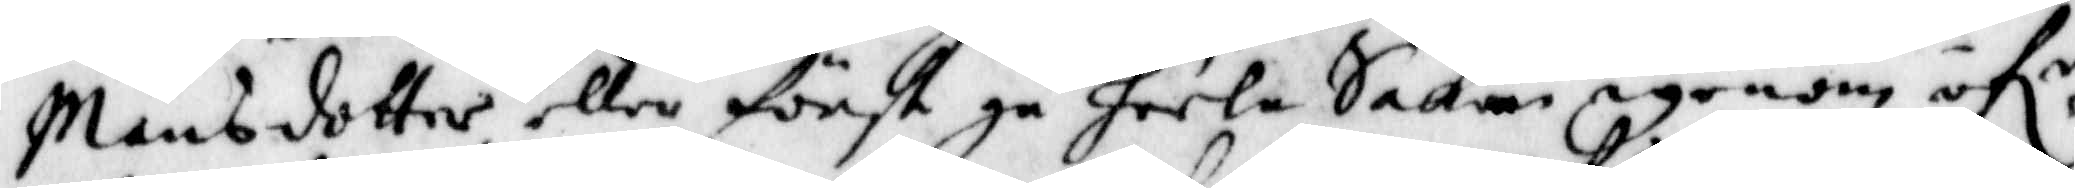Månsdotter, eller först gå heela Saken igenom öf,r
